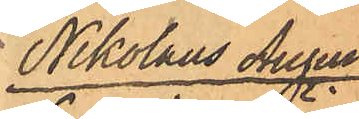Nikolaus August
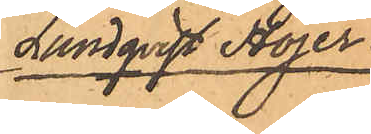Lundqvist Höjer.
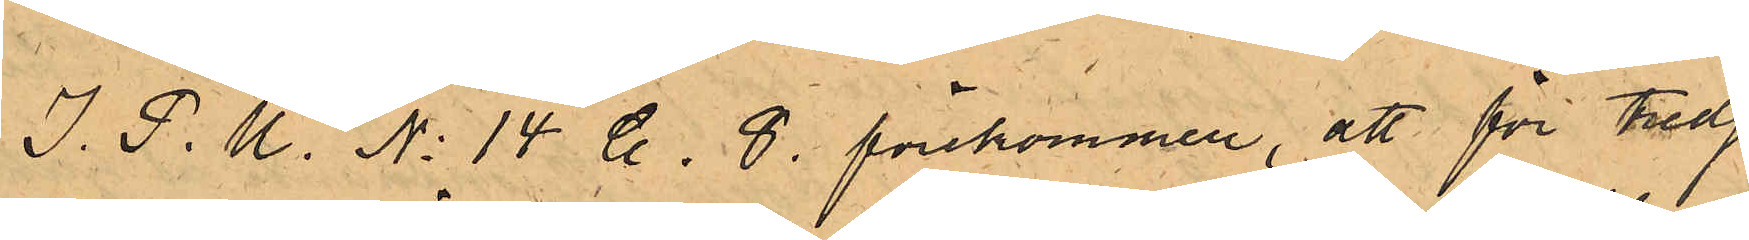I. P. U. No 14 C. 8. förekommer, att för tredje
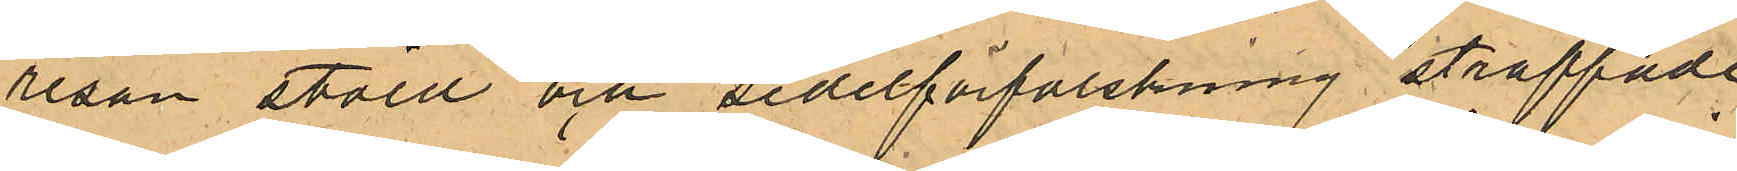resan stöld och sedelförfalskning straffade
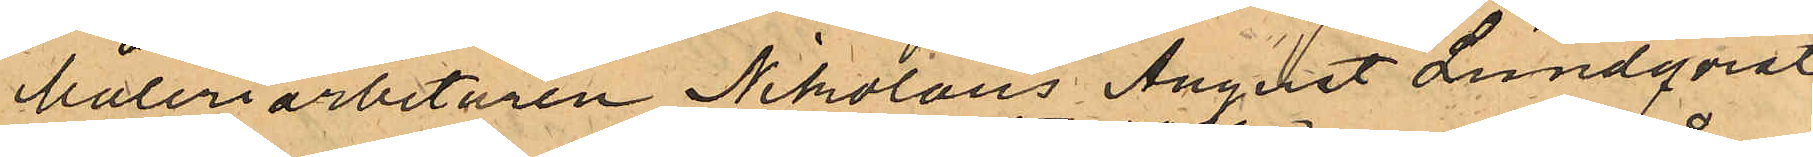Måleriarbetaren Nikolaus August Lundqvist
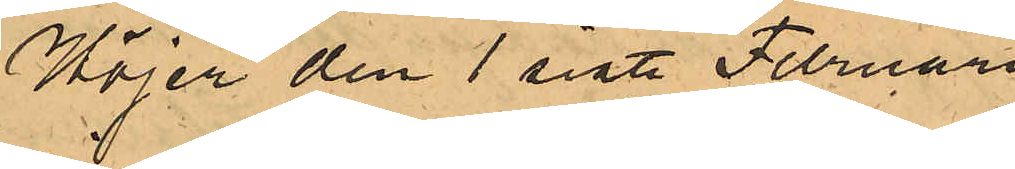Höjer den 1 sist. Februari
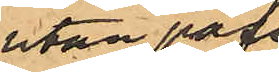utan pass
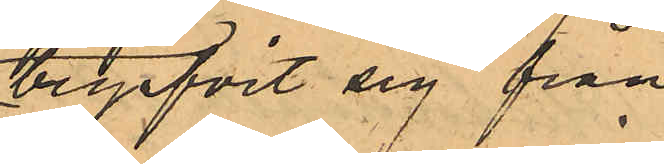begifvit sig från
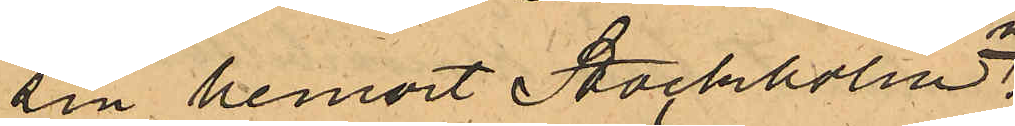sin hemort Stockholm.
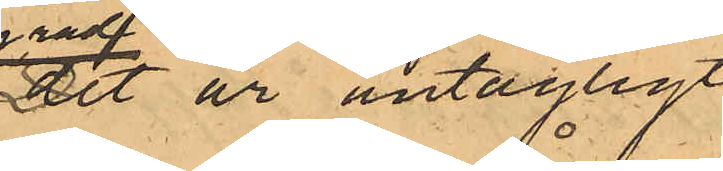Det är antagligt
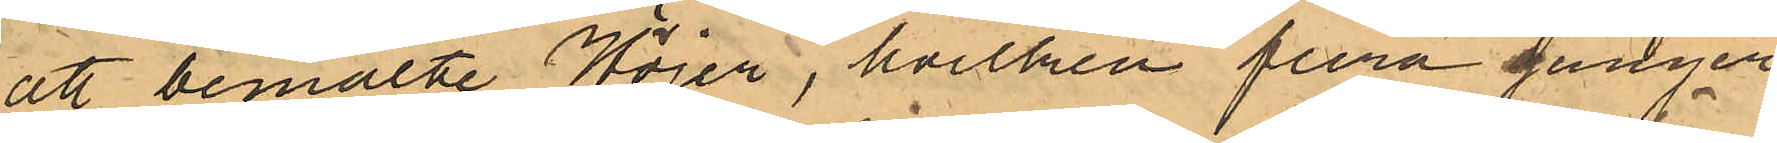att bemälte Höjer, hvilken flera gånger
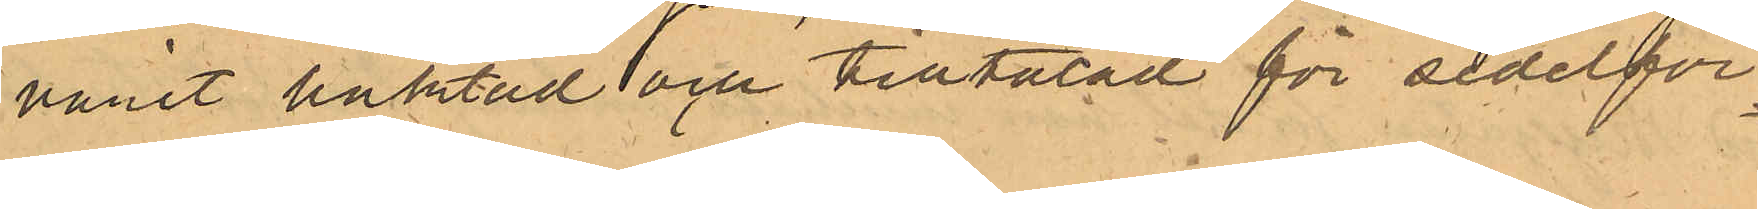varit häktad och tilltalad för sedelför¬
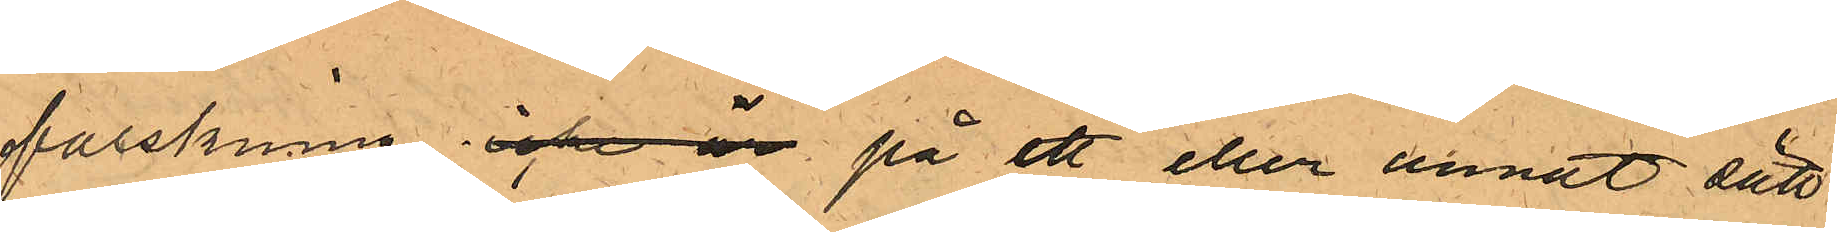falskning icke är på ett eller annat sätt
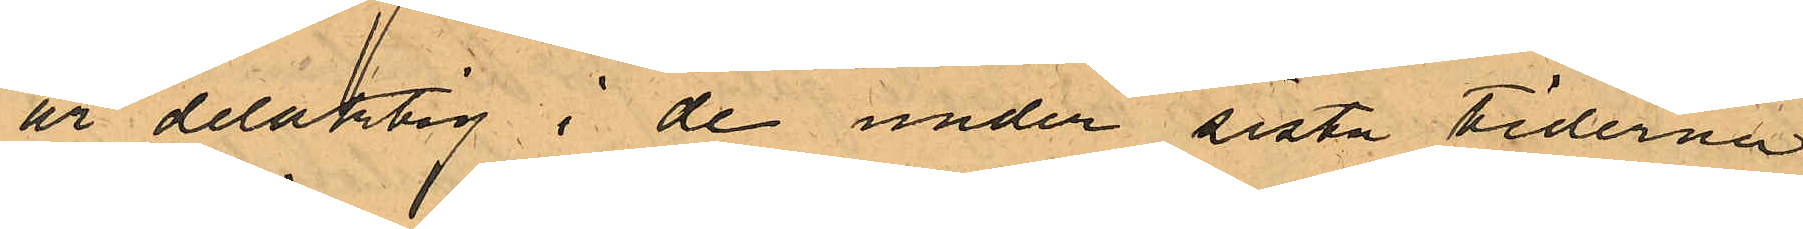är delaktig i de under sista tiderna
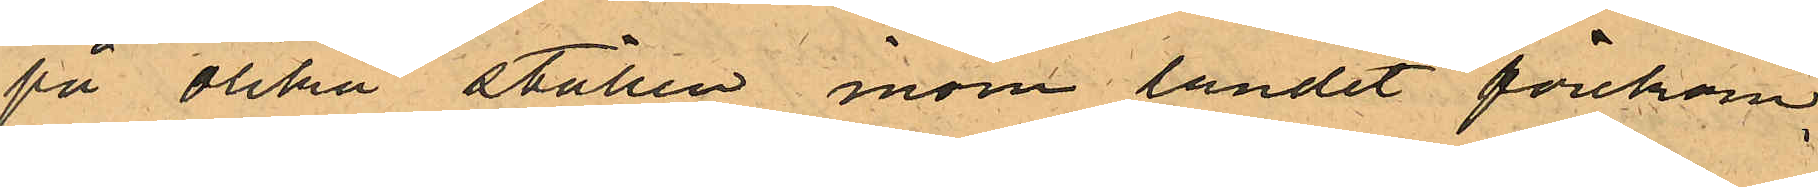på olika ställen inom landet förekom¬
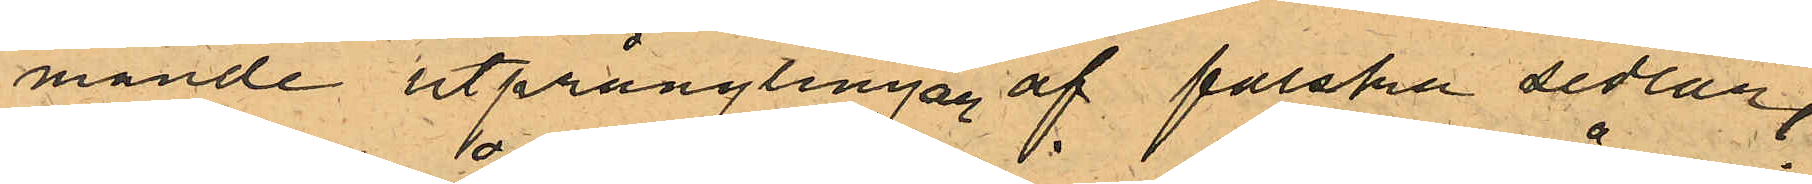mande utprånglingar af falska sedlar
